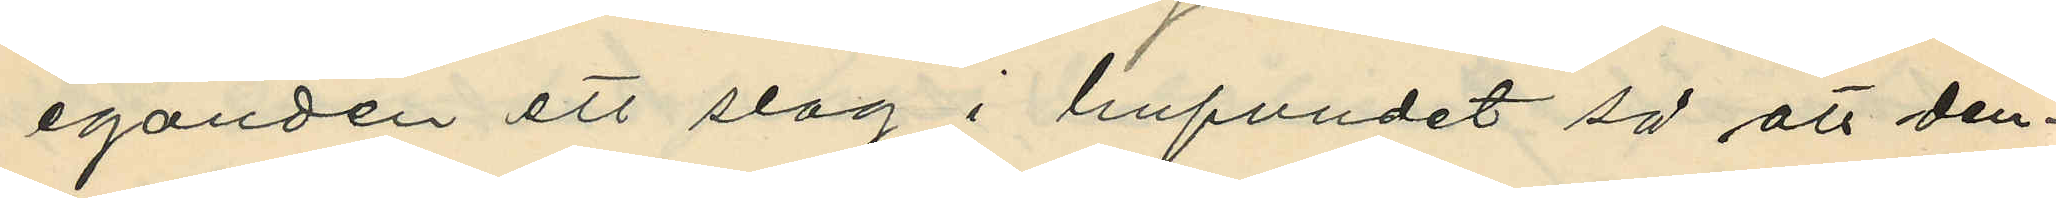eganden ett slag i hufvudet så att den¬
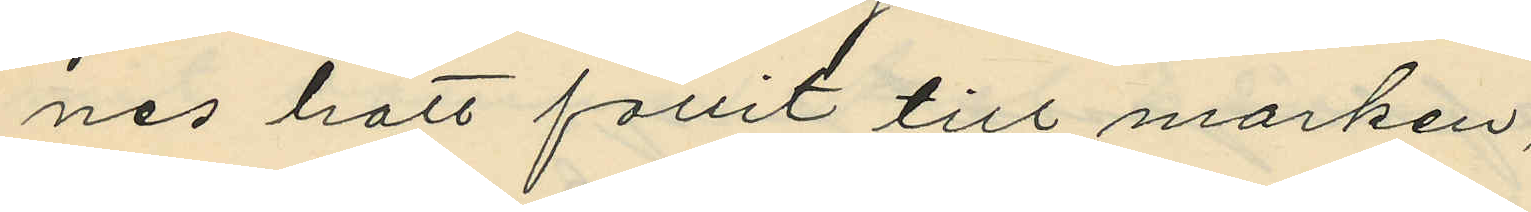nes hatt fallit till marken;
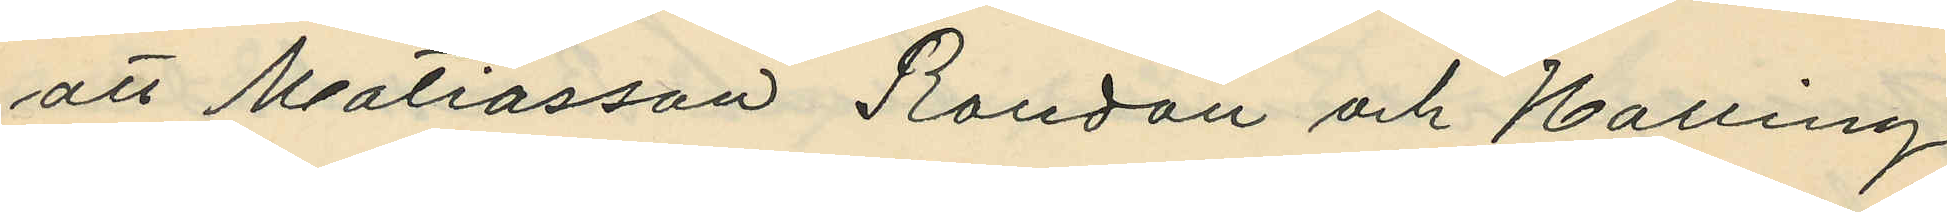att Matiasson Randau och Halling
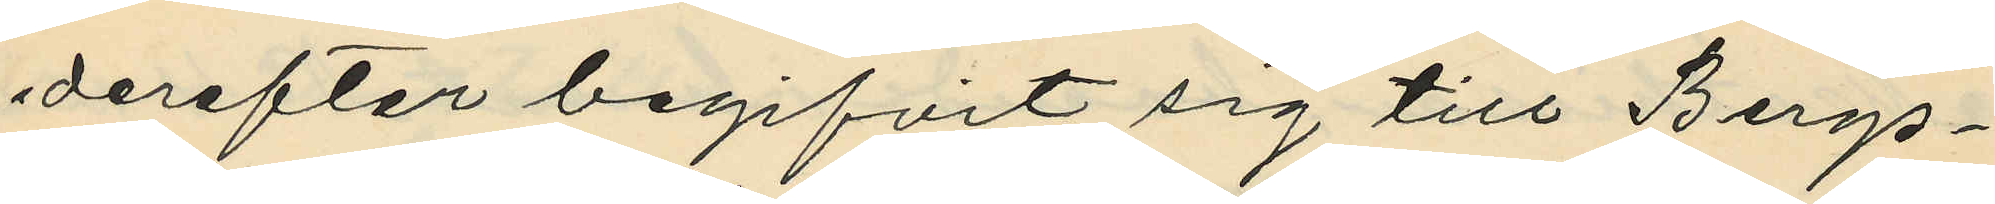derefter begifvit sig till Bergs¬
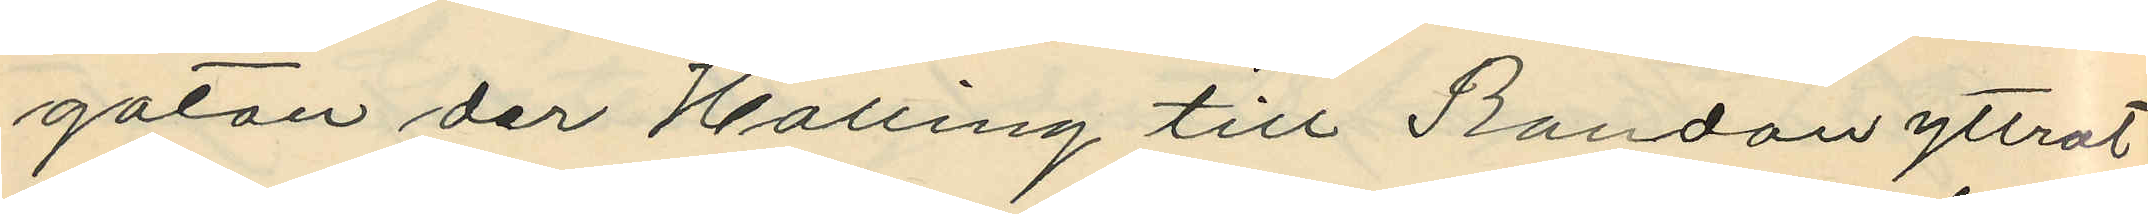gatan der Halling till Randau yttrat
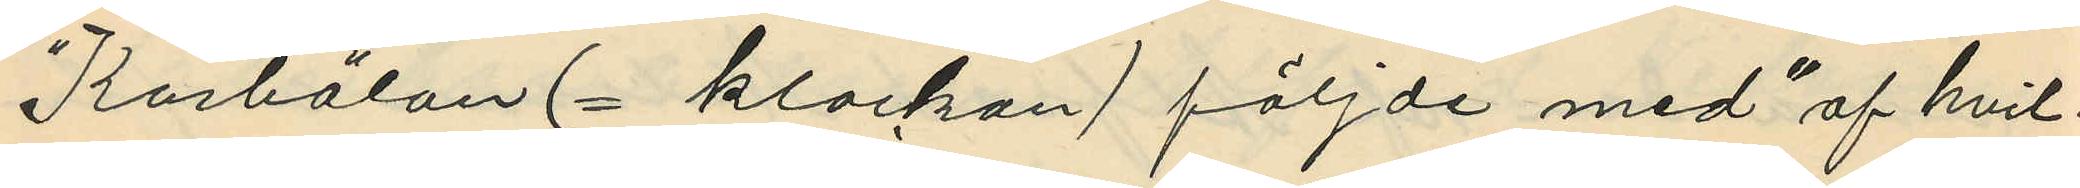"Koskälan (= klockan) följde med" af hvil¬
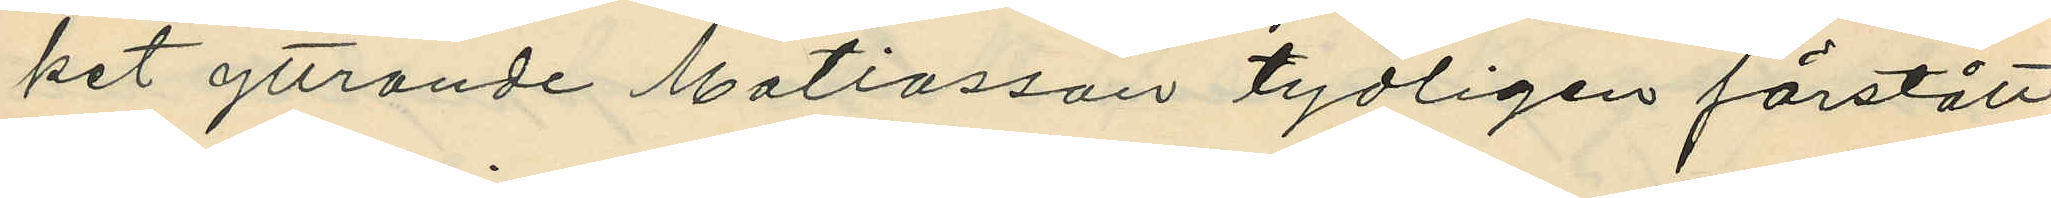ket yttrande Matiasson tydligen förstått
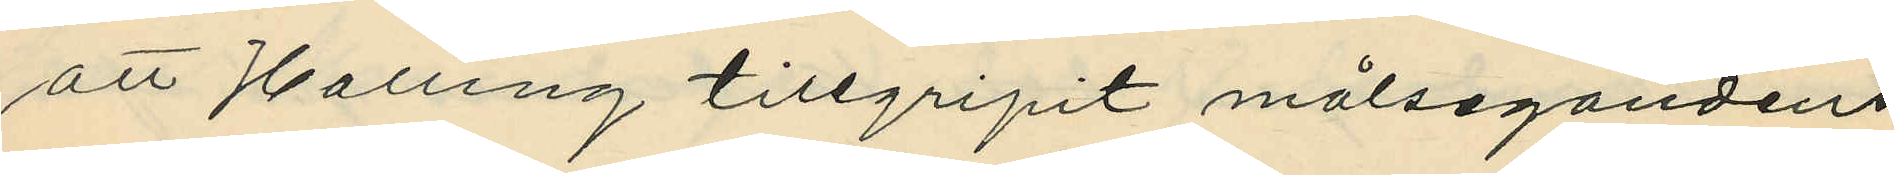att Halling tillgripit målsegandens
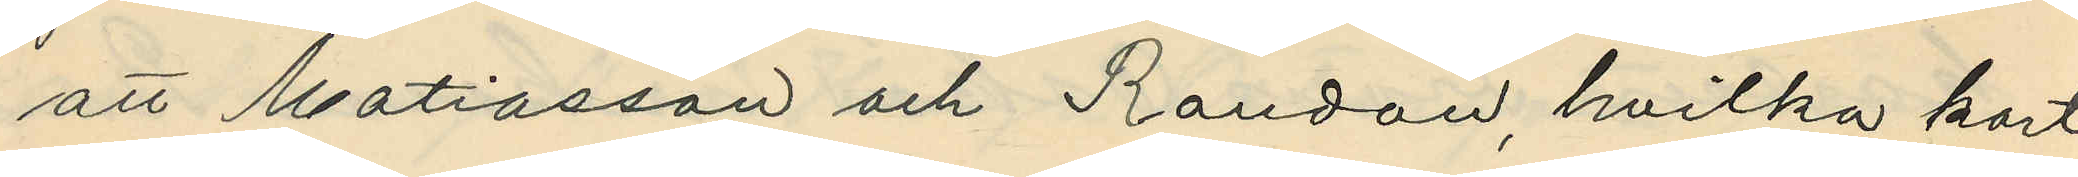att Matiasson och Randau, hvilka kort
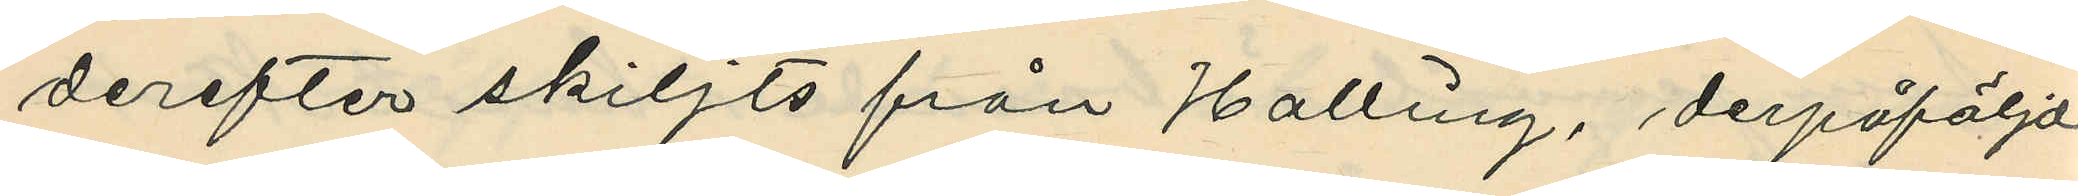derefter skiljts från Halling, derpåföljde
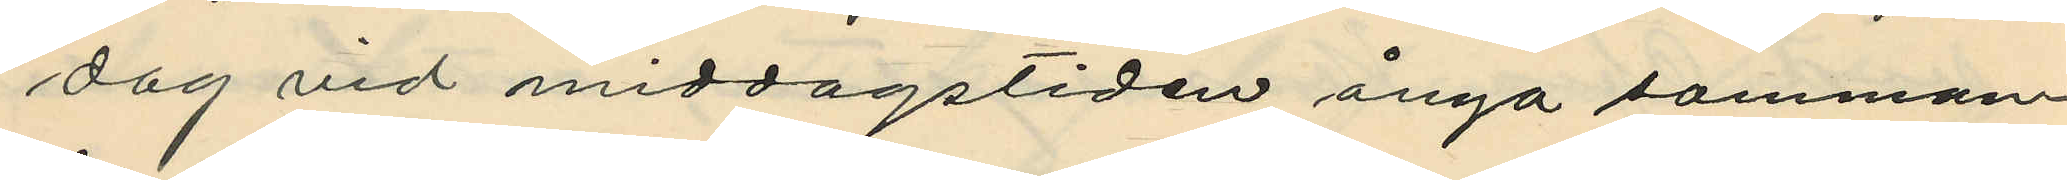dag vid middagstiden ånyo samman¬
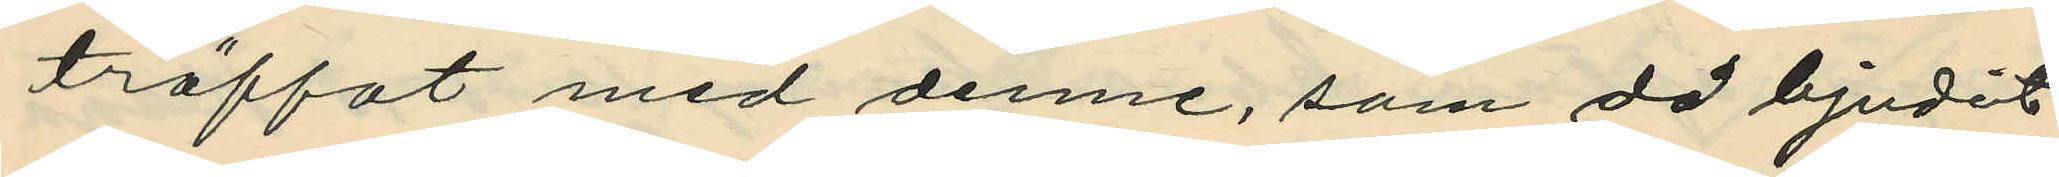träffat med denne, som då bjudit
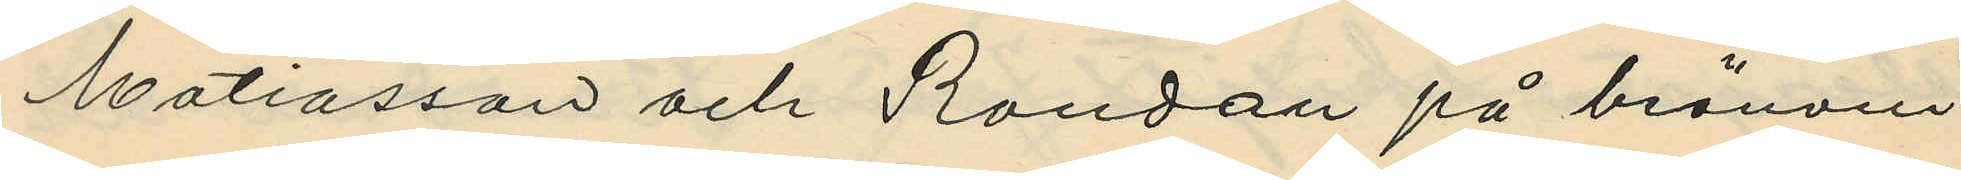Matiasson och Randau på bränvin
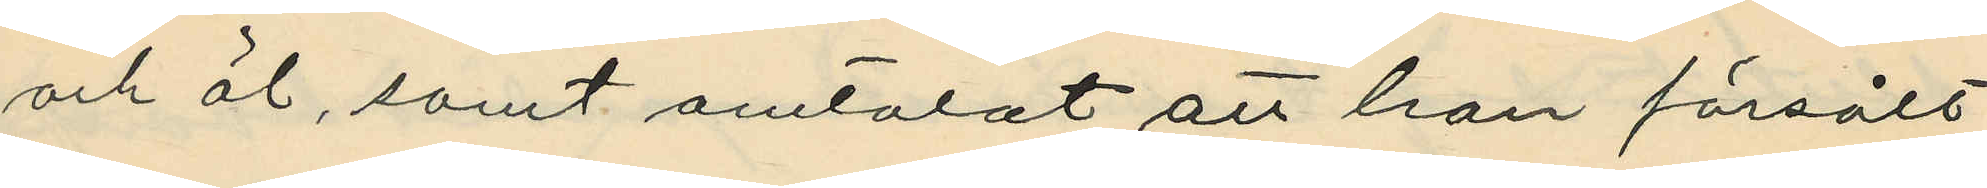och öl, samt omtalat att han försålt
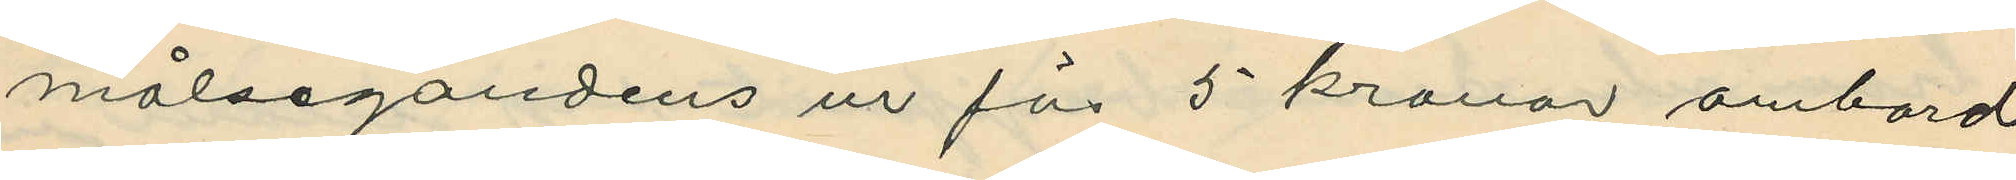målsegandens ur för 5 kronor ombord
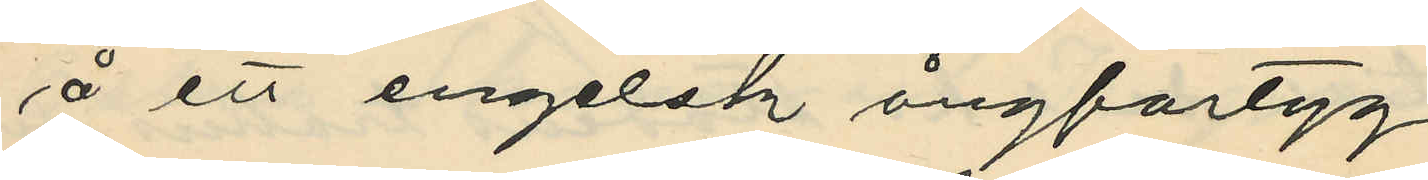å ett engelsk ångfartyg.
